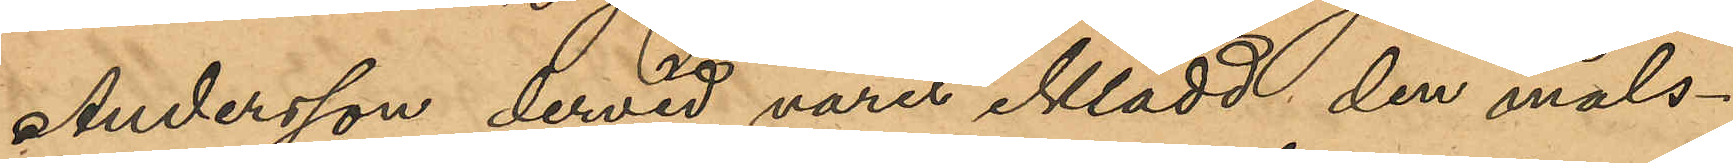Andersson dervid varit iklädd den måls¬
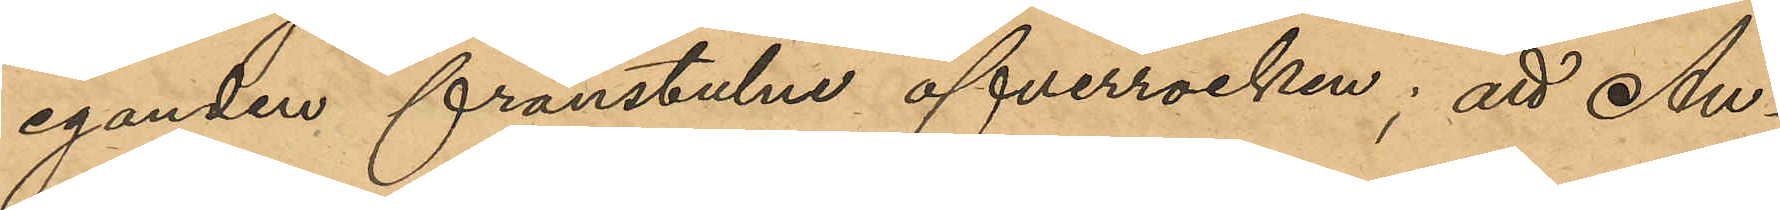eganden frånstulne öfverrocken; att An¬
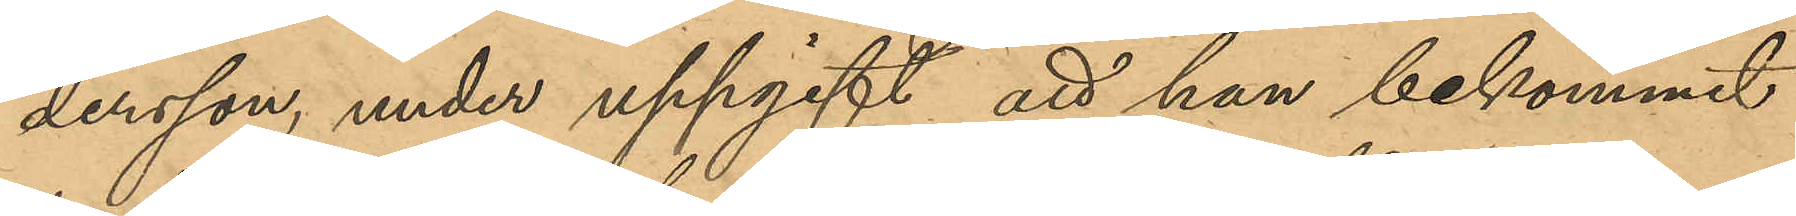dersson under uppgift att han bekommit
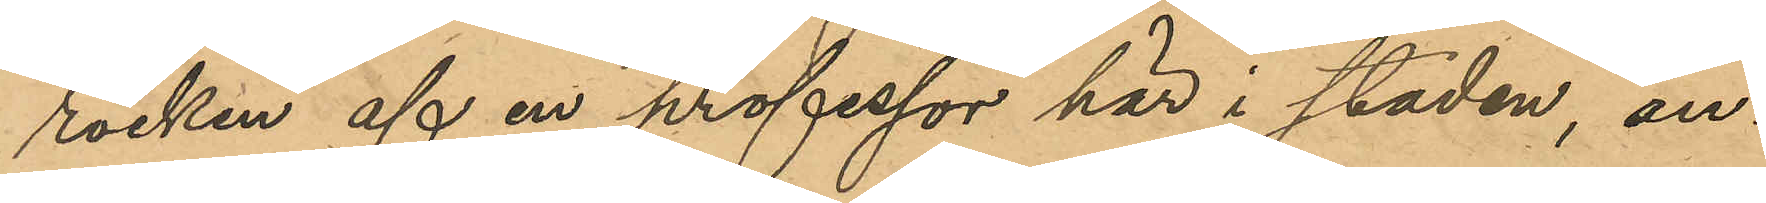rocken af en professor här i staden; an¬
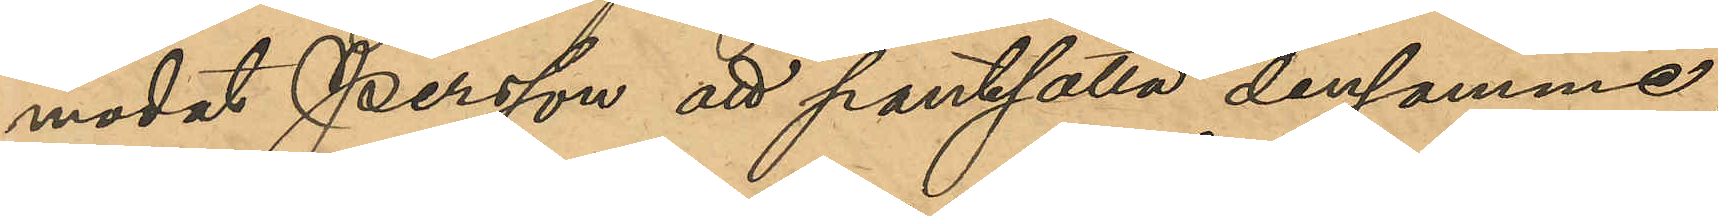modat Persson att pantsätta densamme,
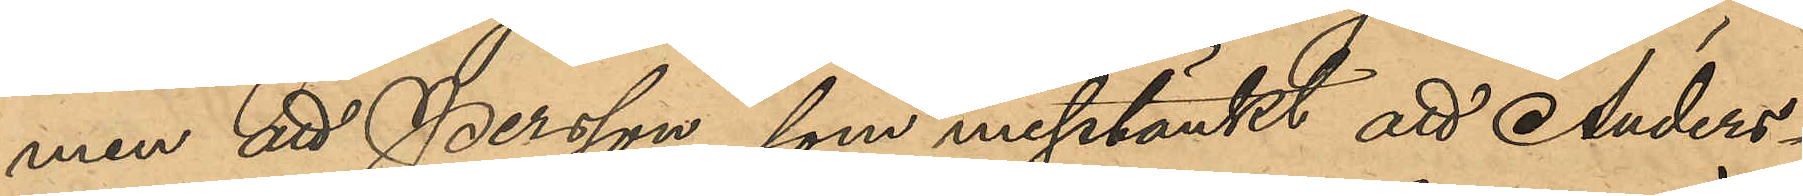men att Persson, som misstänkt att Anders¬
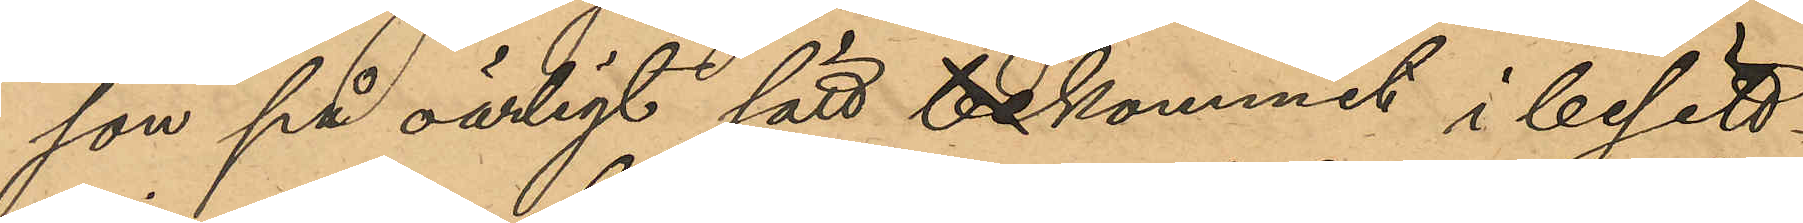son på oärligt sätt bekommit i besitt¬
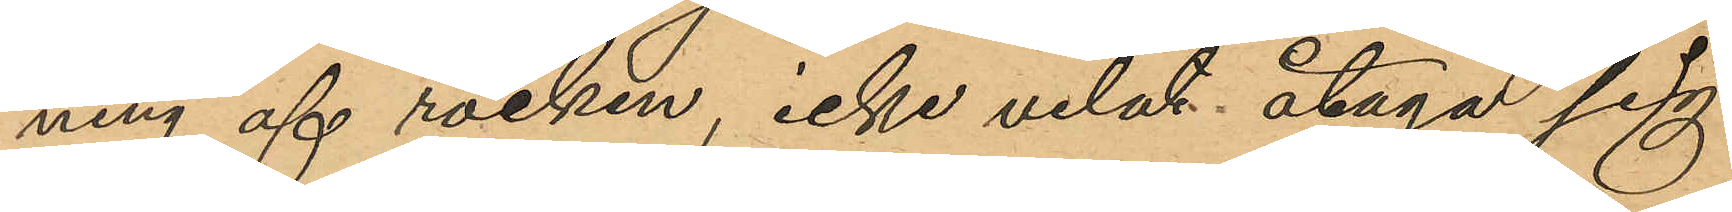ning af rocken, icke velat åtaga sig
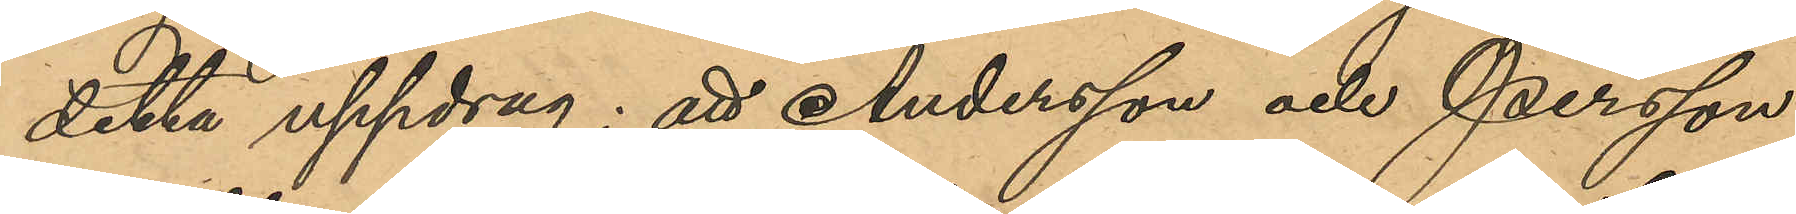detta uppdrag; att Andersson och Persson
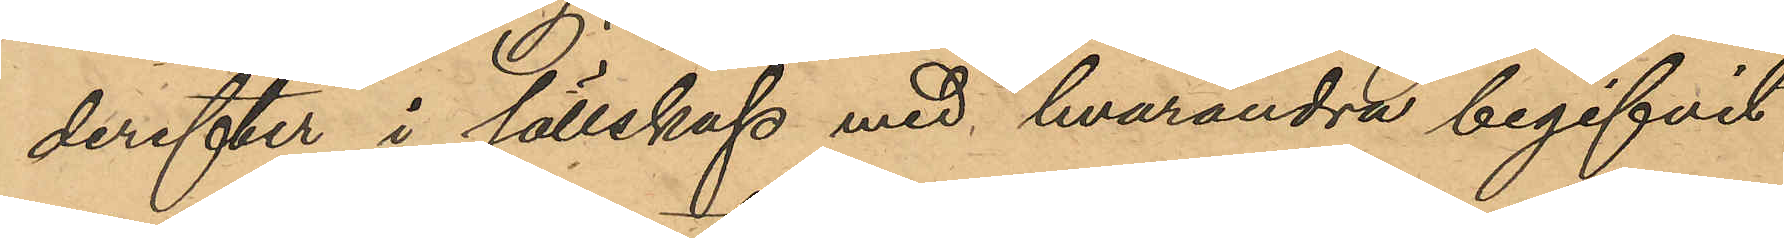derefter i sällskap med hvarandra begifvit
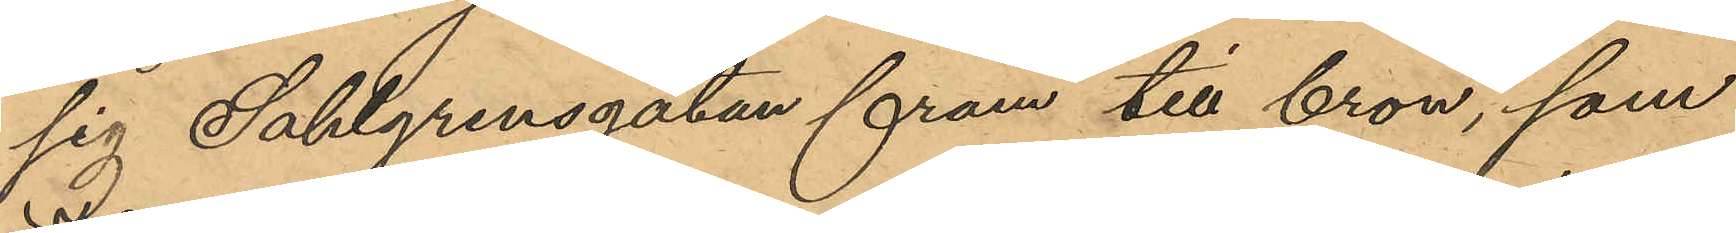sig Sahlgrensgatan fram till bron, som
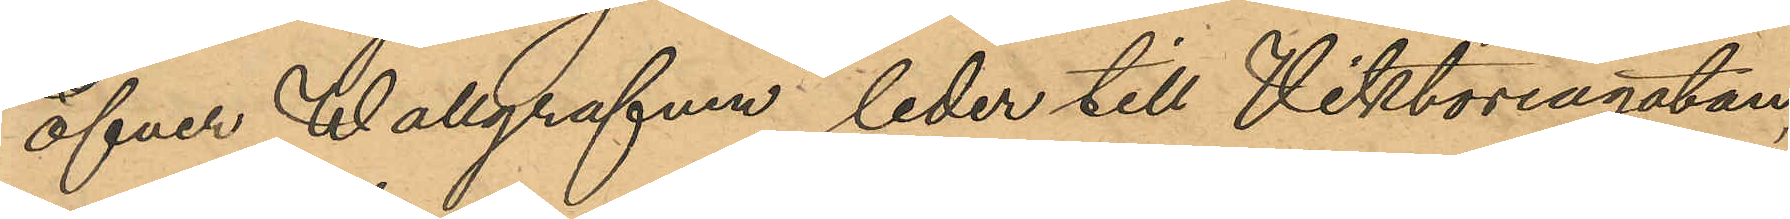öfver Wallgrafven leder till Viktoriagatan,
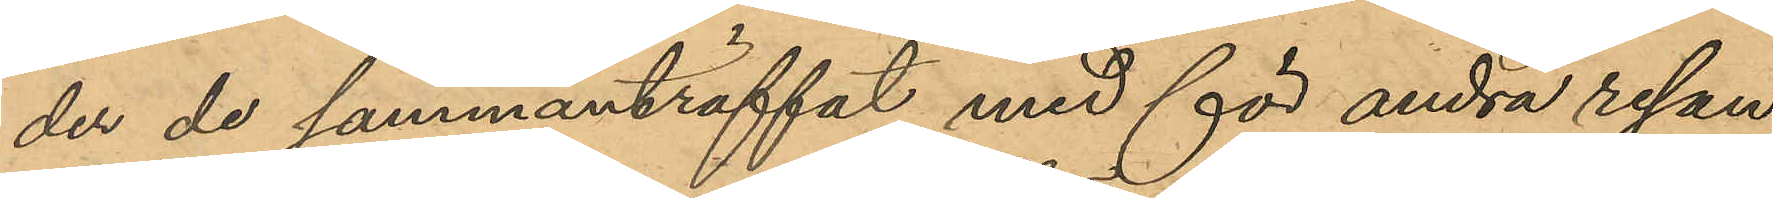der de sammanträffat med för andra resan
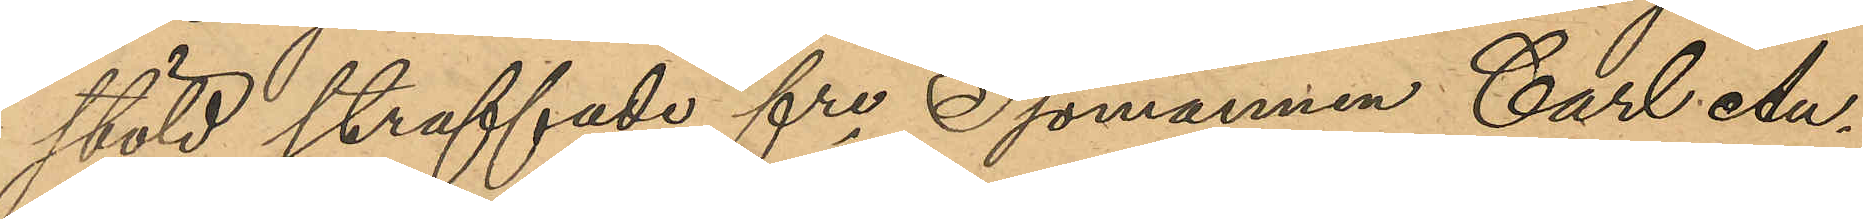stöld straffade fre Sjömannen Carl Au¬
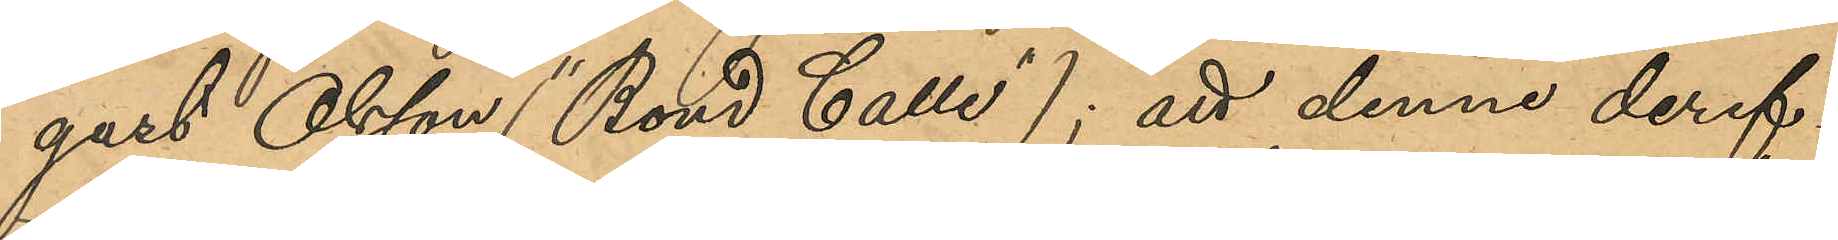gust Olsson ("Bond Calle"); att denne deref¬
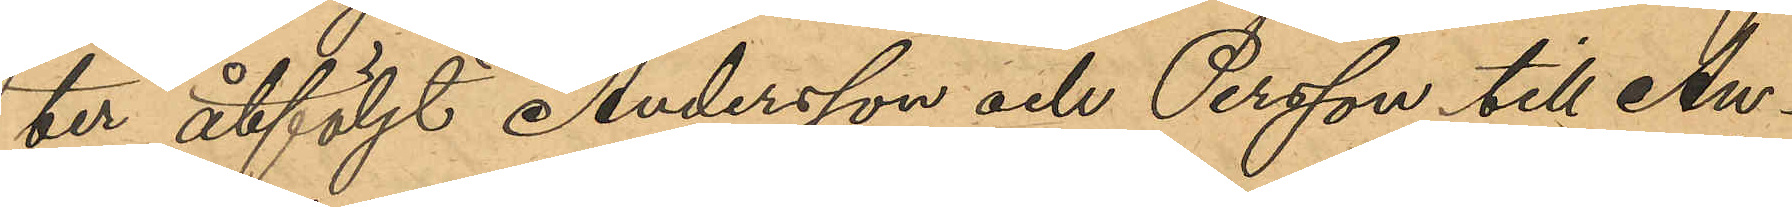ter åtföljt Andersson och Persson till An¬
